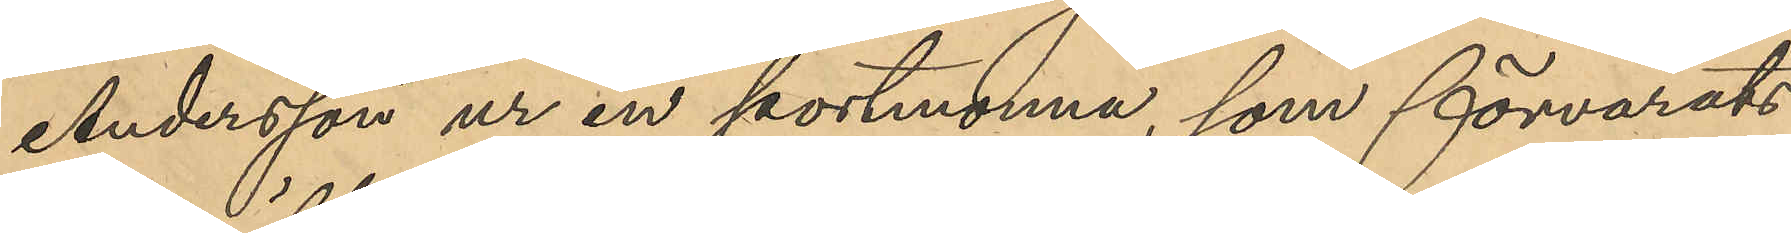Andersson ur en portmonnä, som förvarats
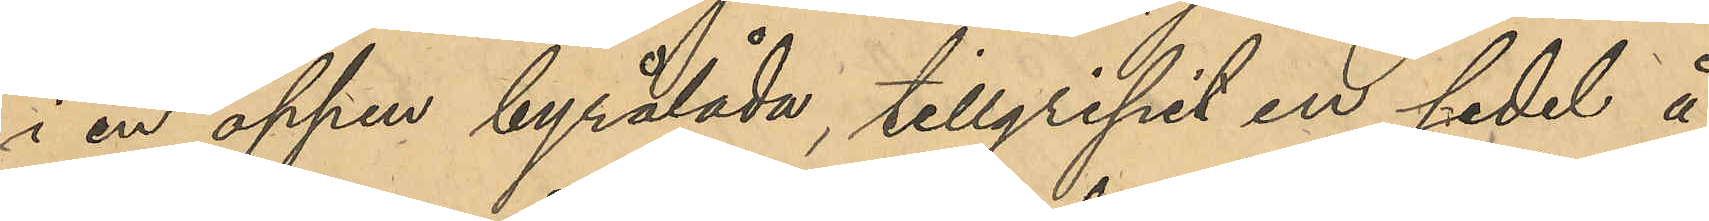i en öppen byrålåda, tillgripit en sedel å
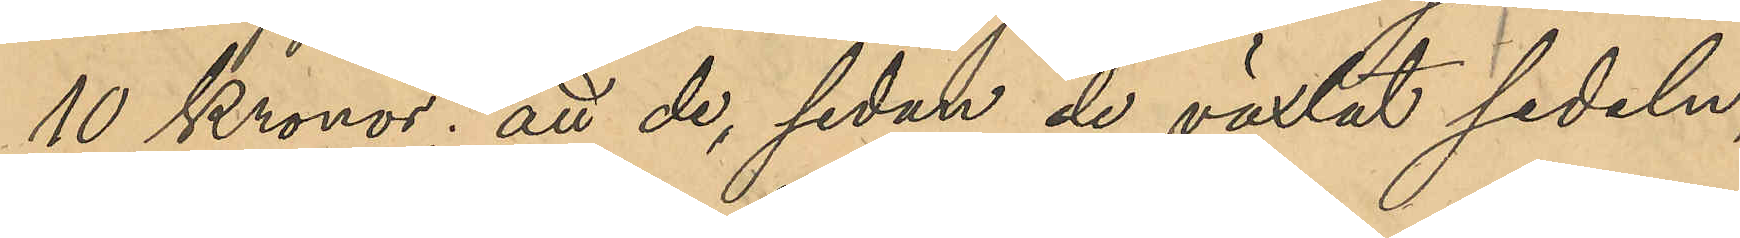10 Kronor; att de, sedan de växlat sedeln,
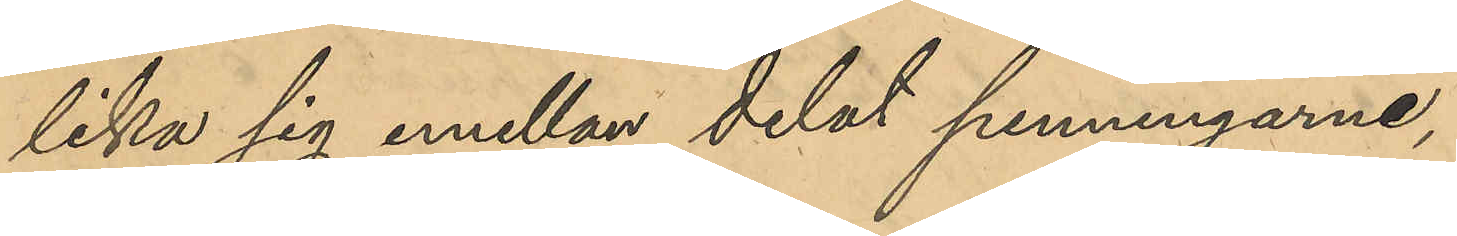lika sig emellan delat penningarne,
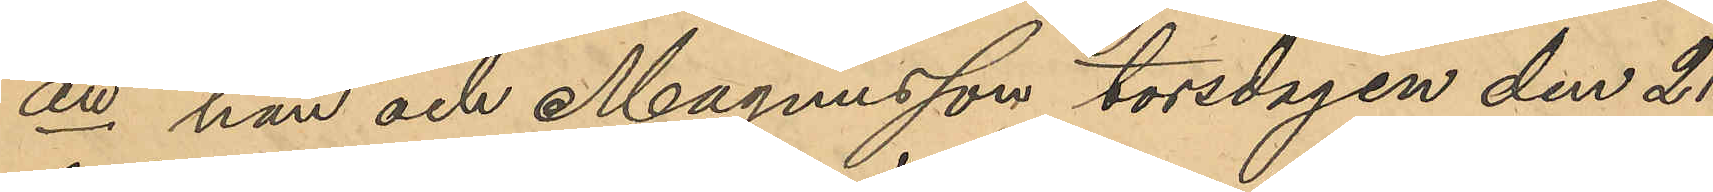att han och Magnusson som torsdagen den 21
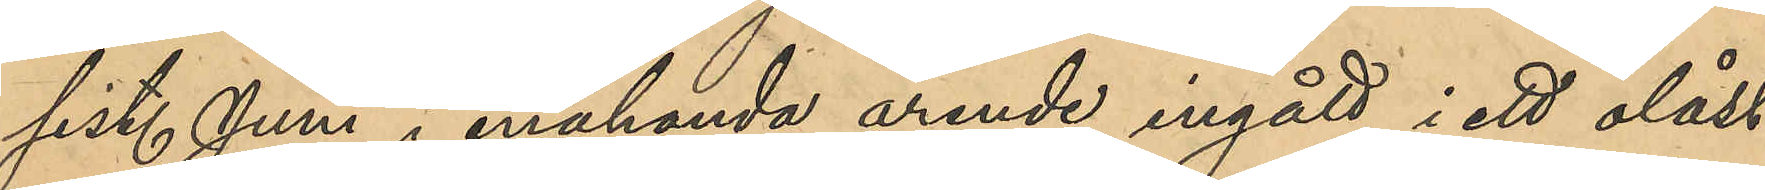sist. Juni i enahanda ärende ingått i ett olåst
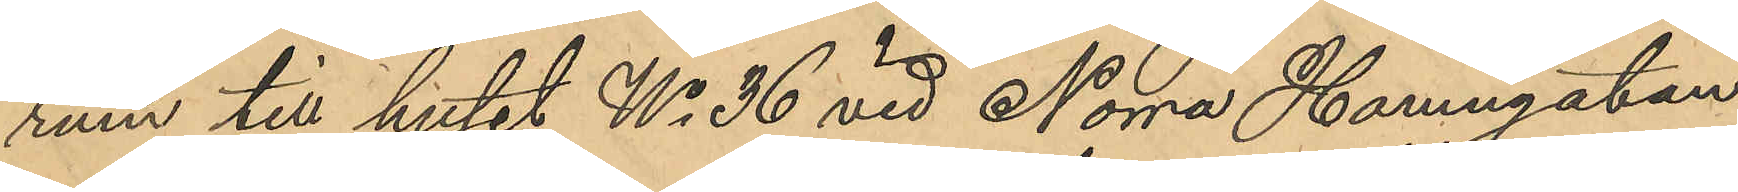rum till huset No 36 vid Norra Hamngatan;
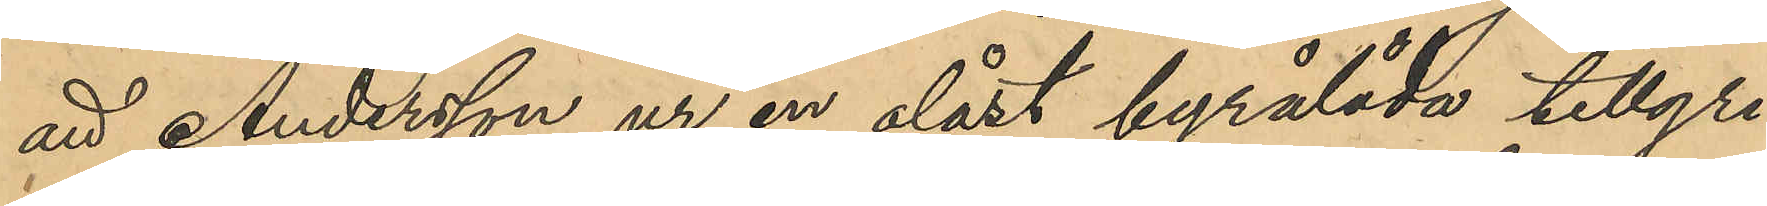att Andersson ur en olåst byrålåda tillgri¬
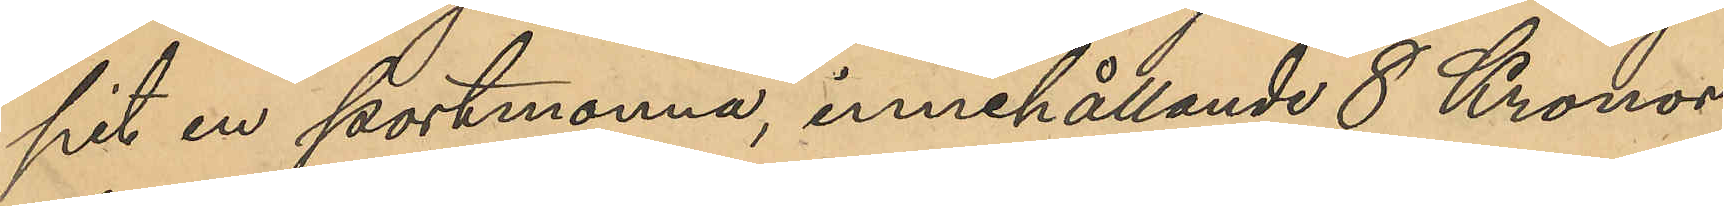pit en portmonnä, innehållande 8 Kronor,
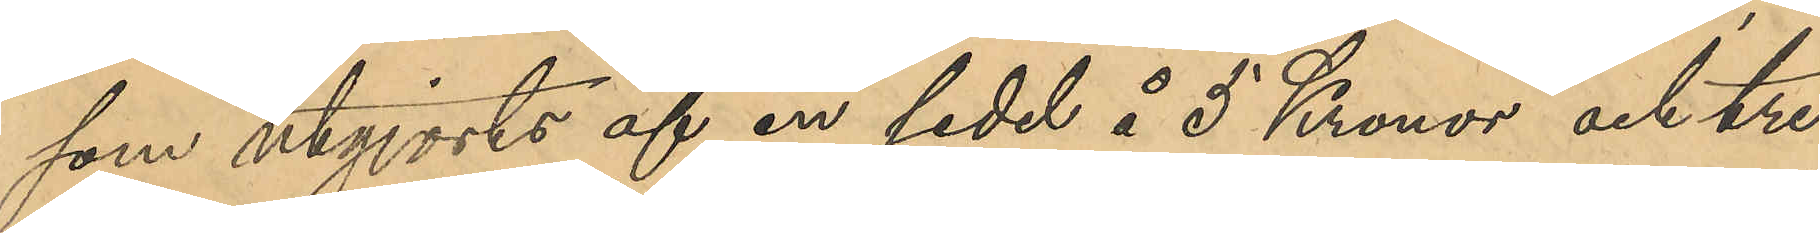som utgjorts af en sedel å 5 Kronor och tre
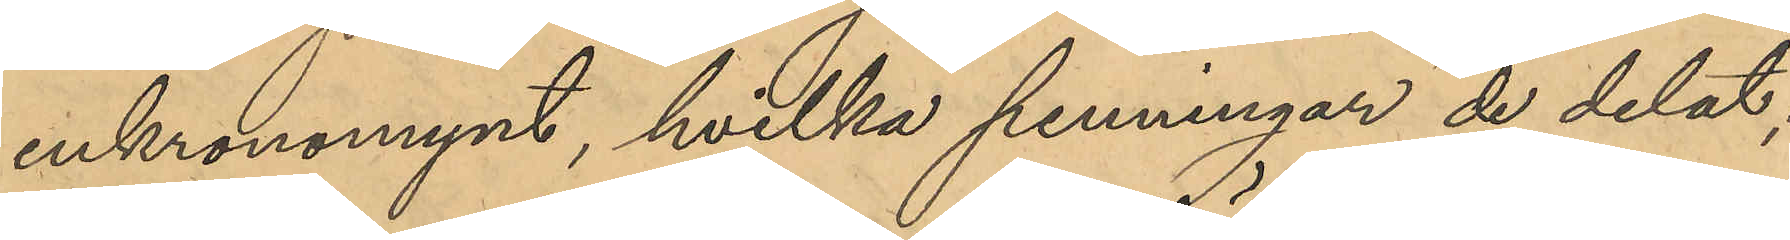enkronomynt, hvilka penningar de delat;
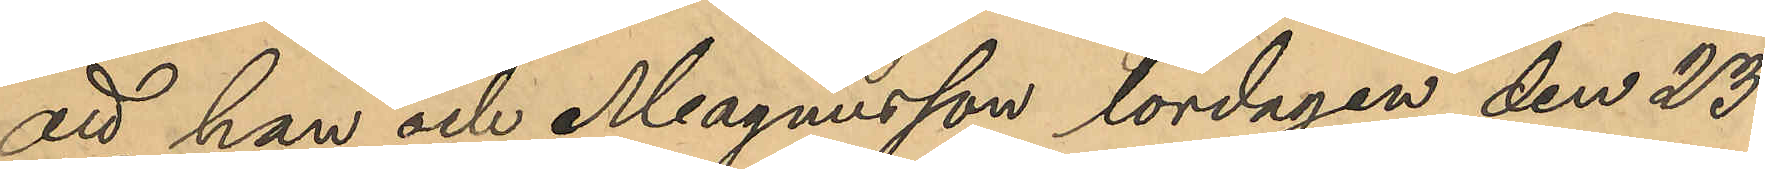att han och Magnusson lördagen den 23
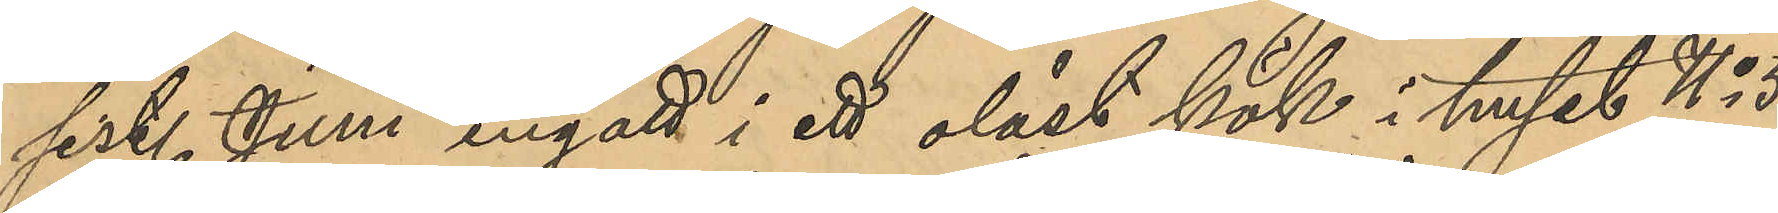sist. Juni ingått i ett olåst kök i huset No 5
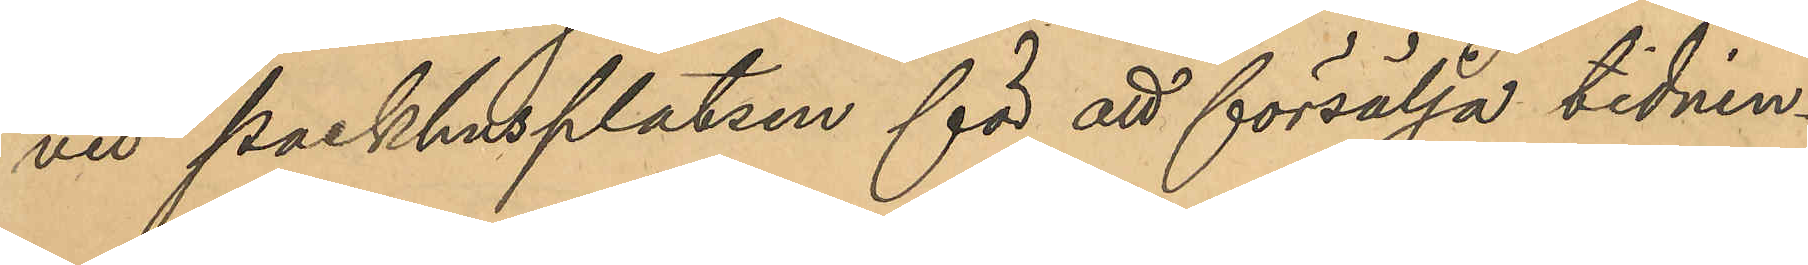vid Packhusplatsen för att försälja tidnin¬
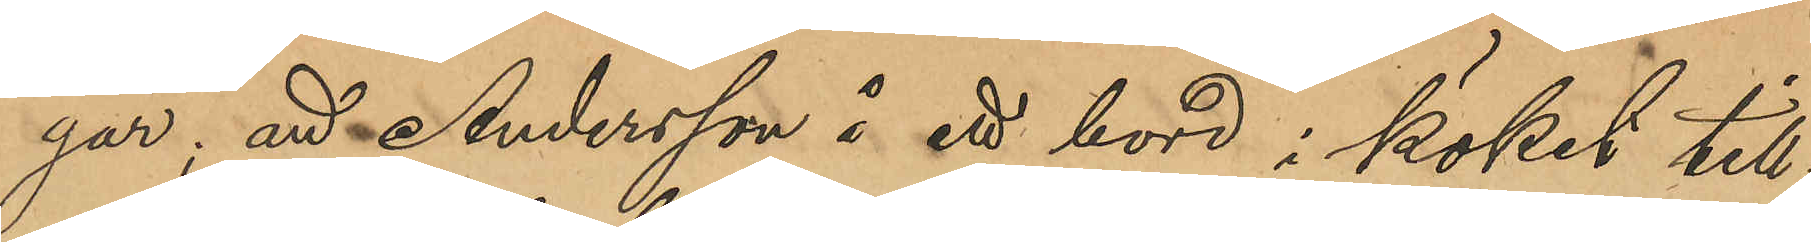gar; att Andersson å ett bord i köket till¬
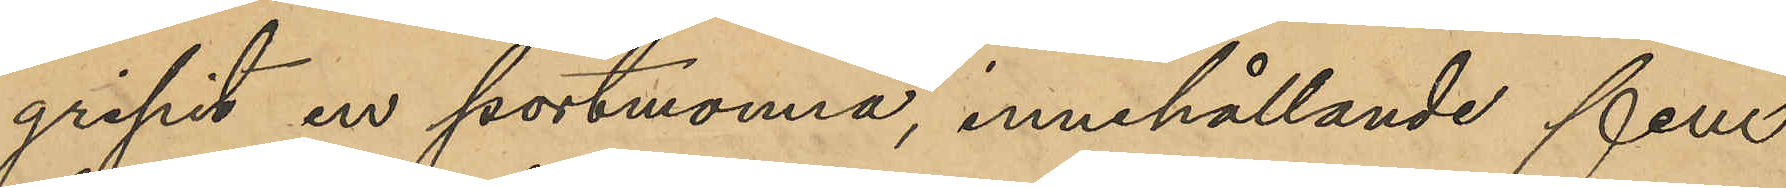gripit en portmonnä, innehållande fem
